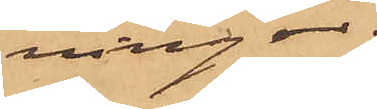ningar.
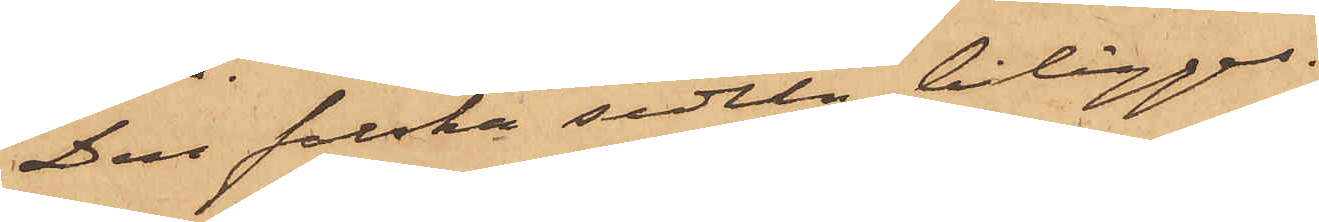Den falska sedeln bilägges.
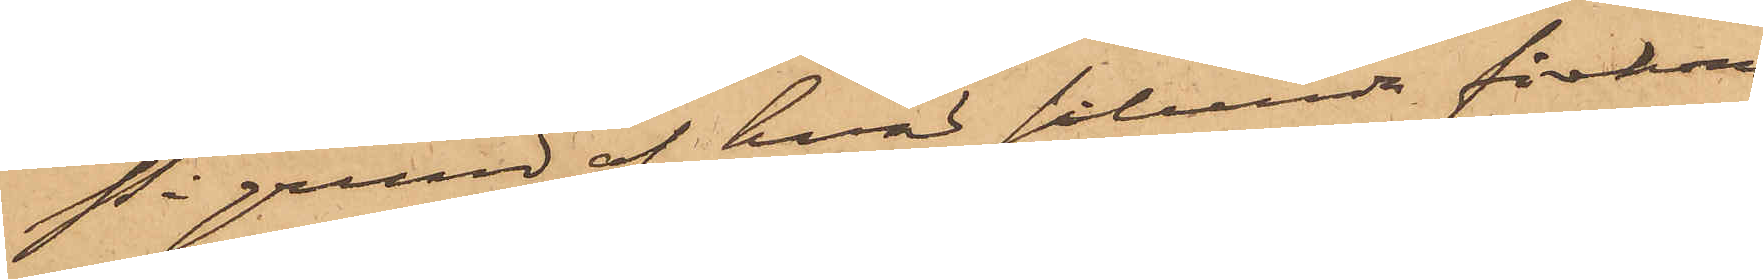På grund af hvad sålunda förekom¬
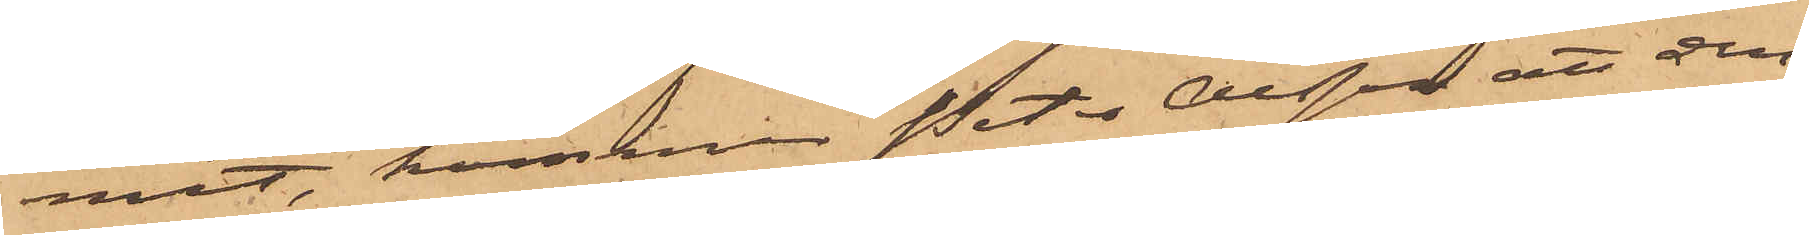mit, kommer Peter Olsson att den¬
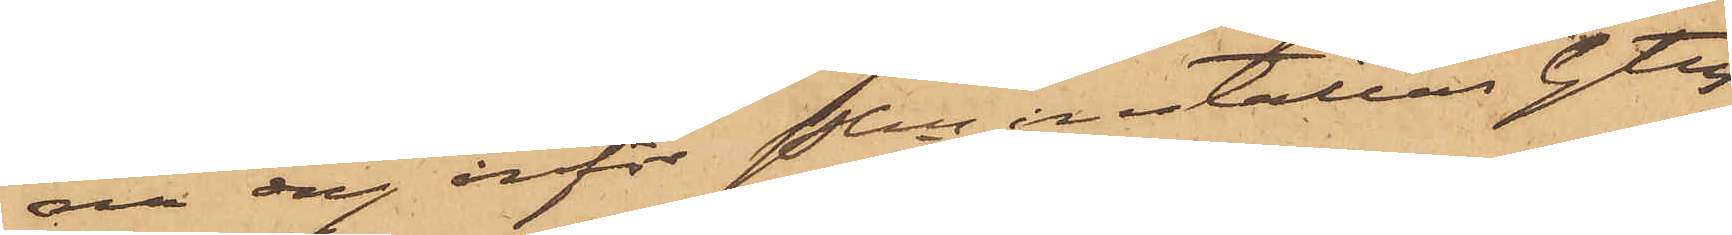na dag inför Pkn inställas. Gtbg 
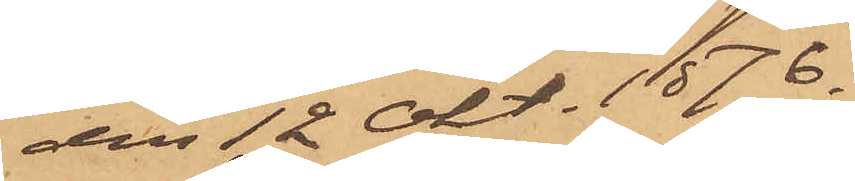den 12 Okt. 1876.
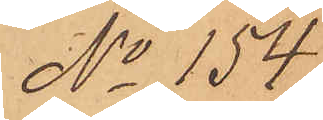No 154.
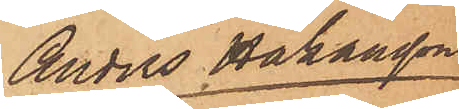Anders Håkansson
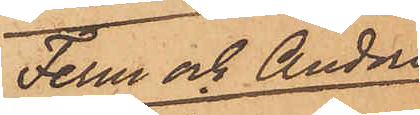Ferm och Anders
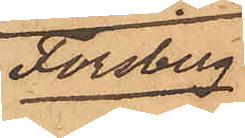Forsberg
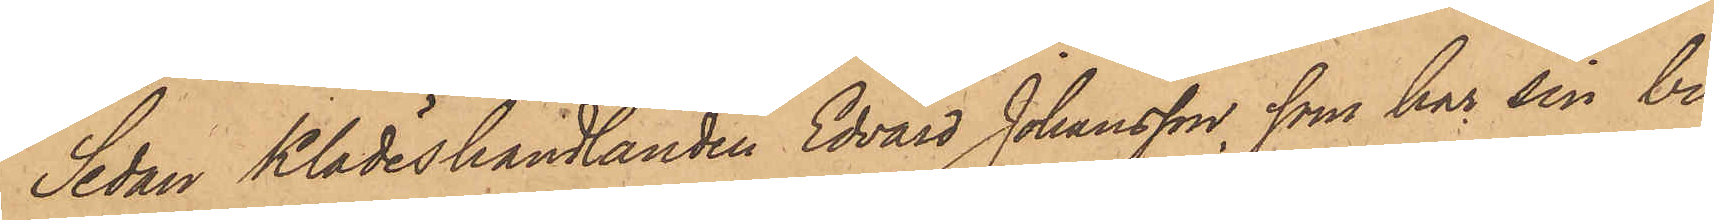Sedan Klädeshandlanden Edvard Johansson, som har sin bu¬
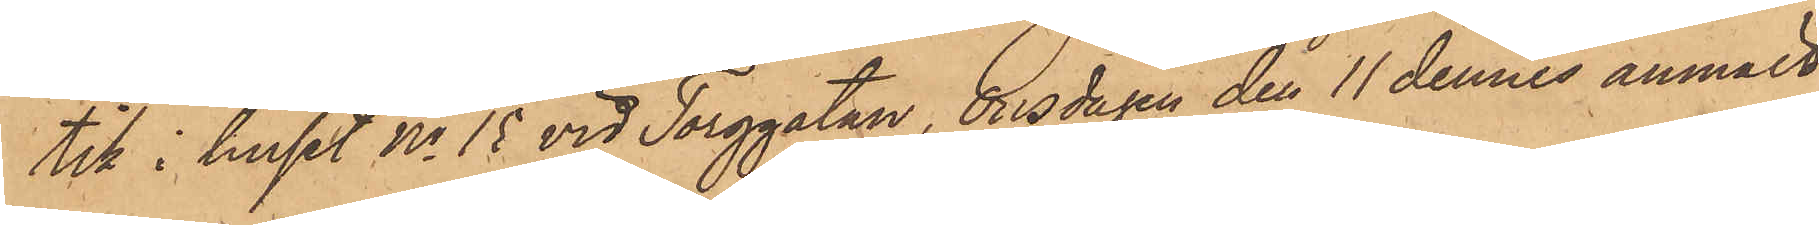tik i huset No 15 vid Torggatan, Onsdagen den 11 dennes anmält,
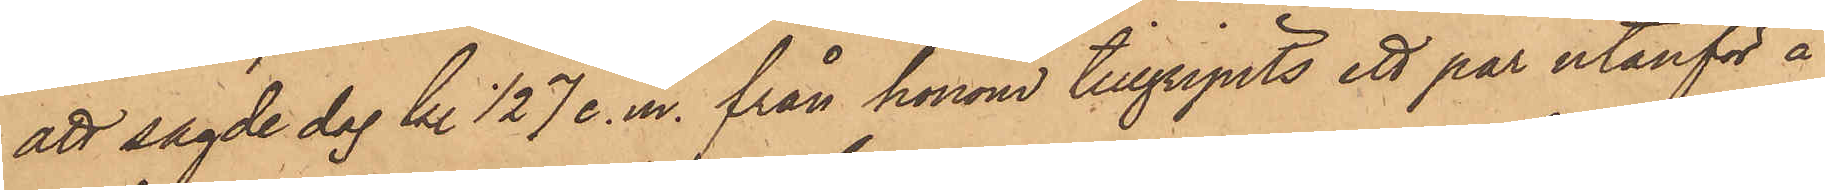att sagde dag kl. ½7 e. m. från honom tillgripits ett par utanför å
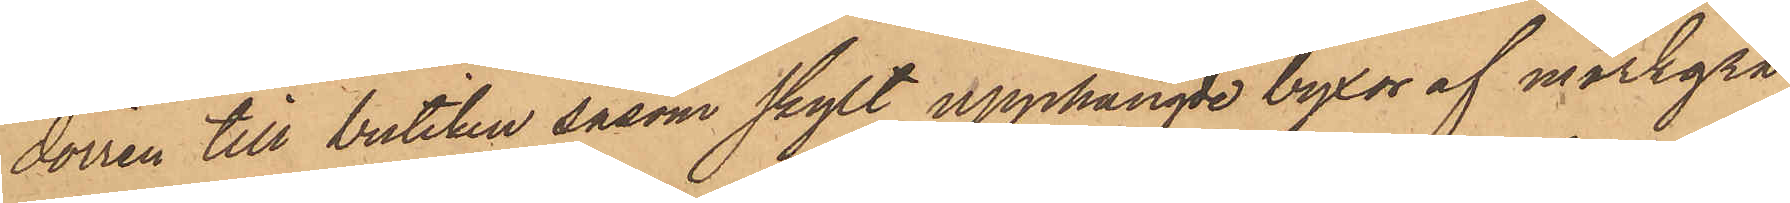dörren till butiken såsom skylt upphängde byxor af mörkgrå
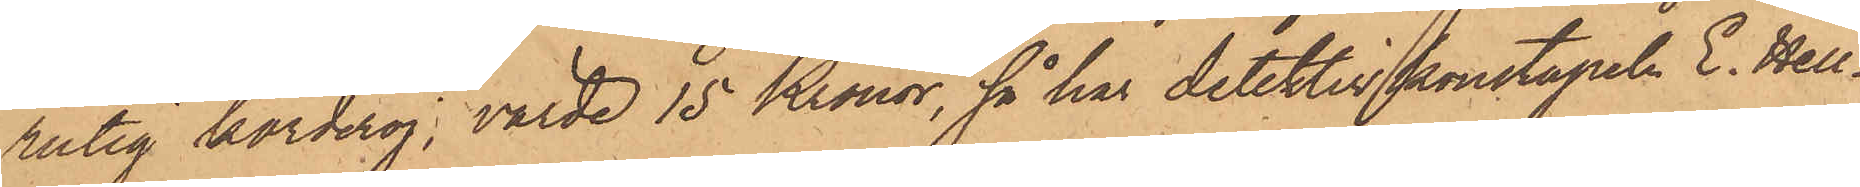rutig korderoj, värde 15 Kronor, så har detektivkonstapeln E. Hell¬
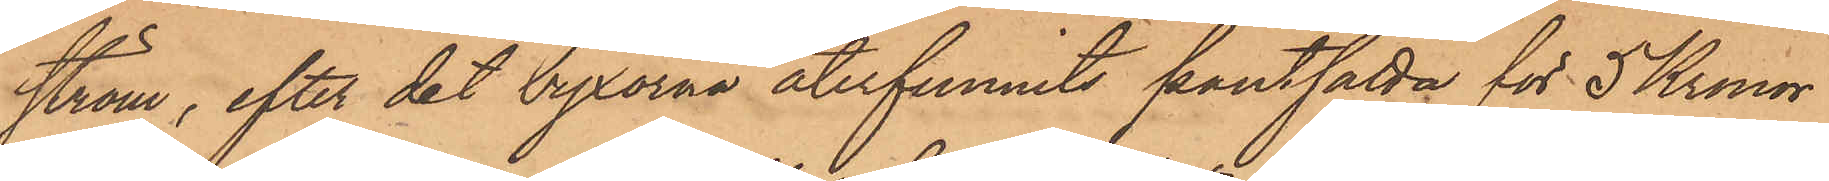ström, efter det byxorna återfunnits pantsatta för 5 Kronor
